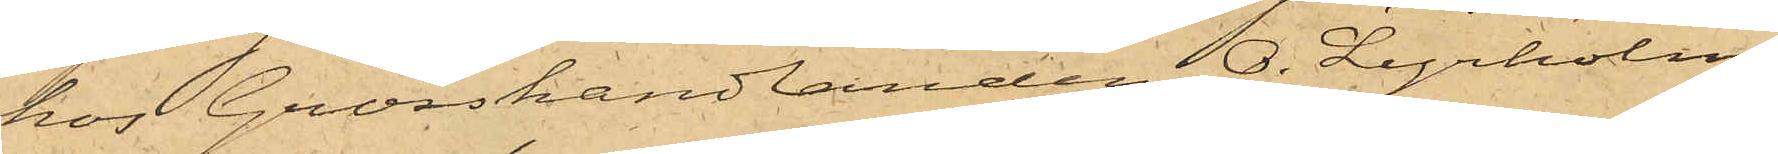hos Grosshandlanden O. Lyrholm,
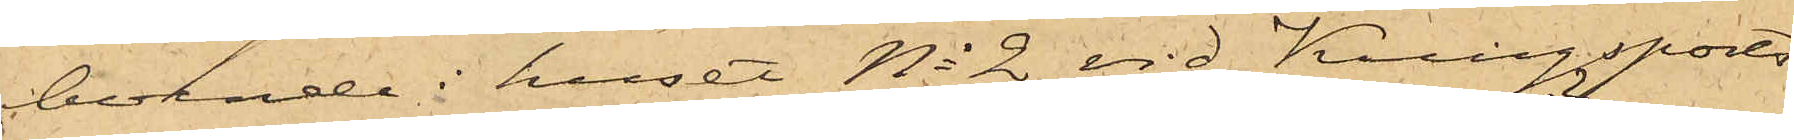boende i huset No 2 vid Kungsports¬
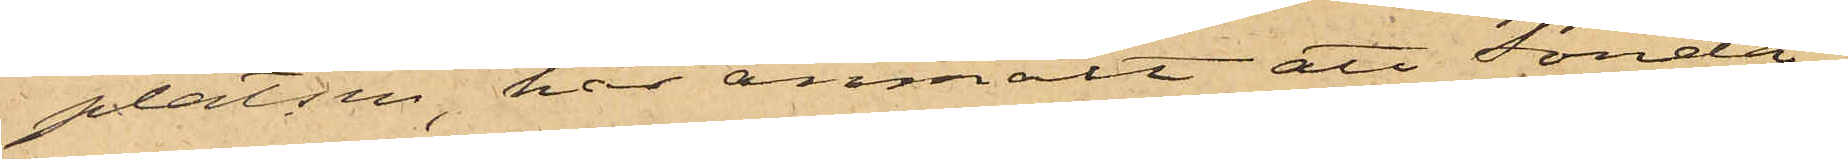platsen, har anmält att Sönda¬
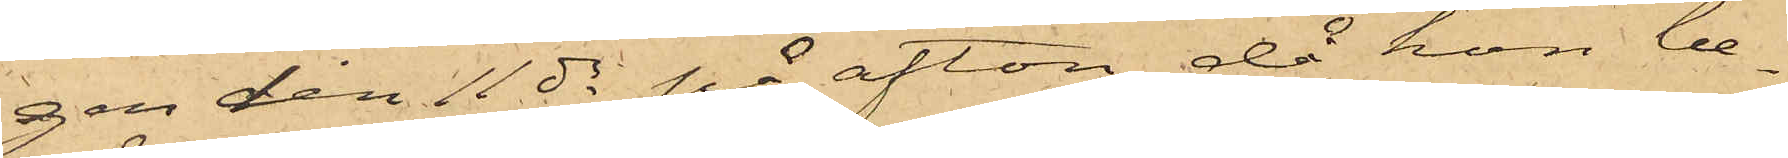gen den 11 ds på afton, då hon be¬
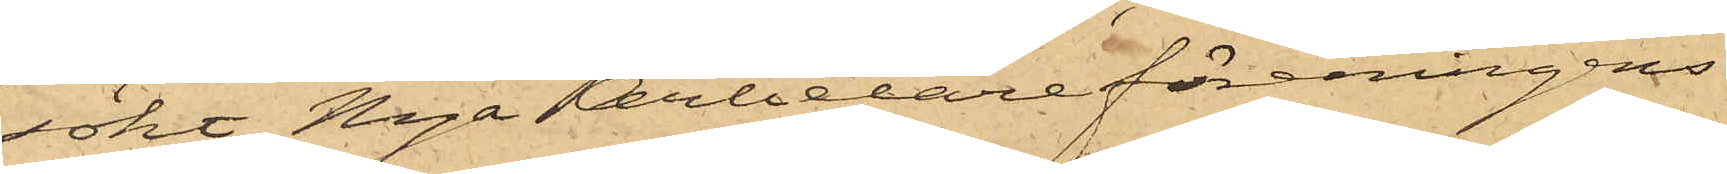sökt Nya Arbetareföreningens
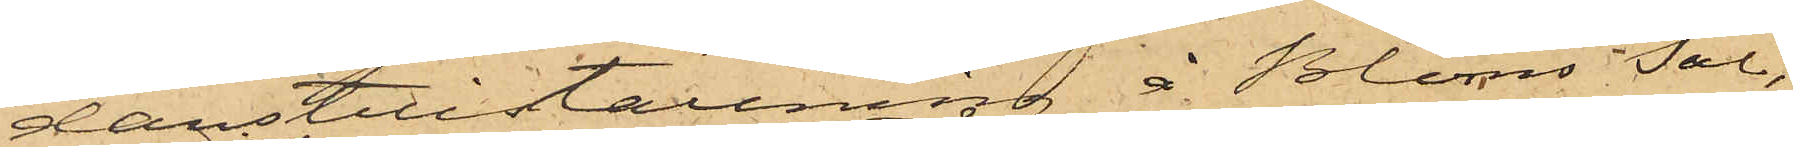danstillställning å Bloms Sal,
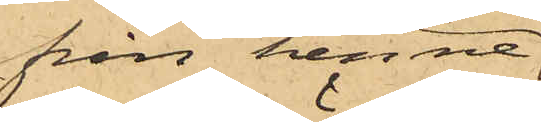från henne
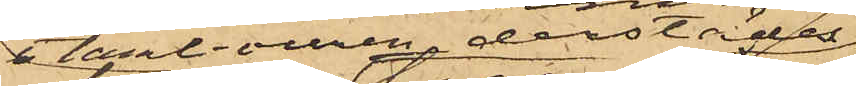i tambouren derstädes
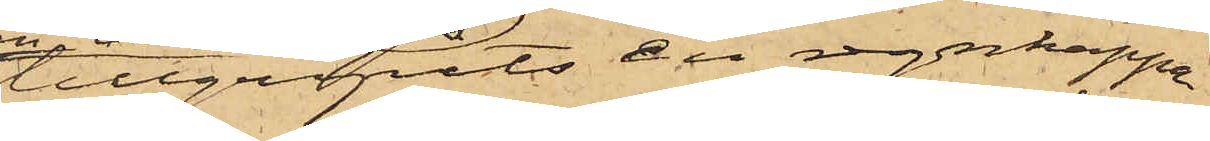tillgripits en regnkappa
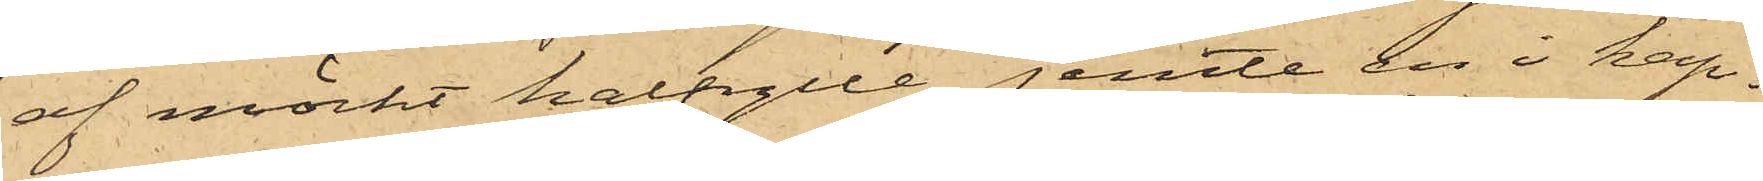af mörkt halfylle jemte en i kap¬
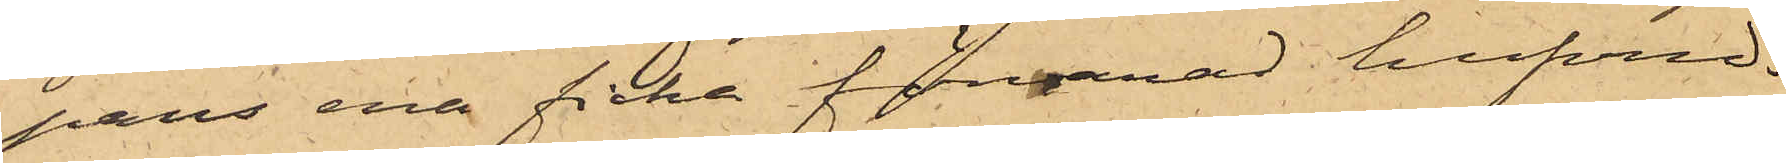pans ena ficka förvarad hufvud¬
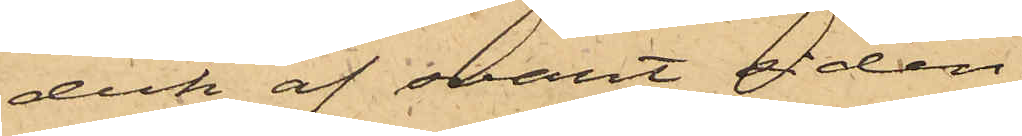duk af svart siden.
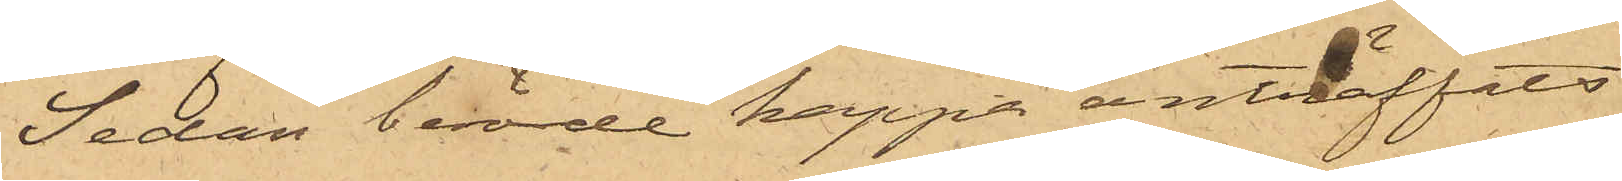Sedan berörde kappa anträffats
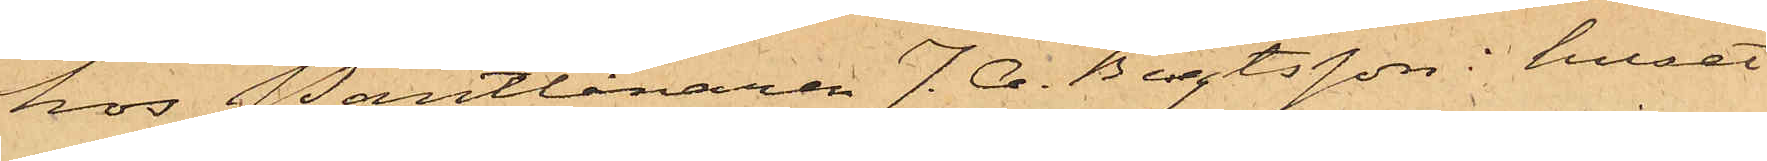hos Pantlånaren J. A. Bengtsson i huset
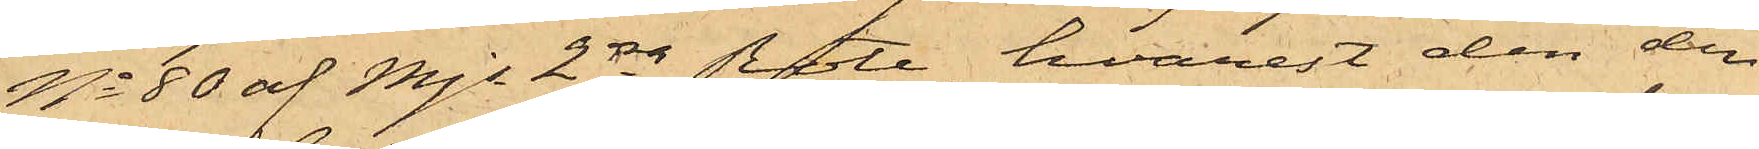No 80 af Mjs 2dra Rote, hvarest den den
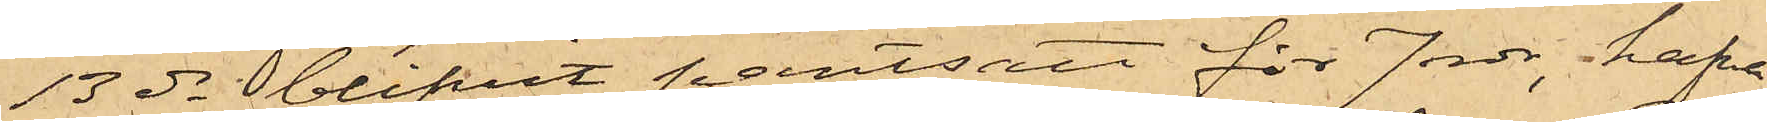13 ds blifvit pantsatt för 7 rdr, hafva
